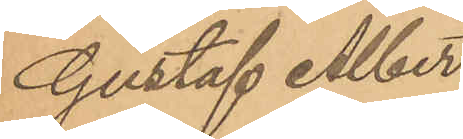Gustaf Albert
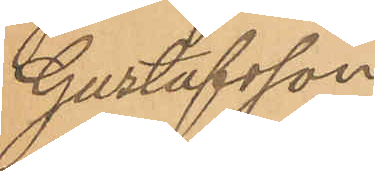Gustafsson
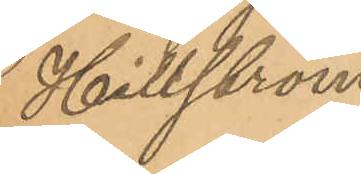Hillström.
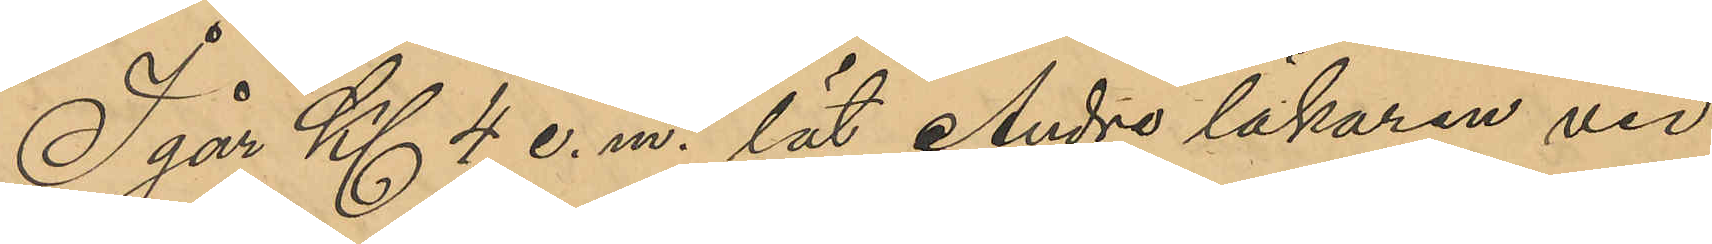I går Kl 4 e. m. lät Andre läkaren vid
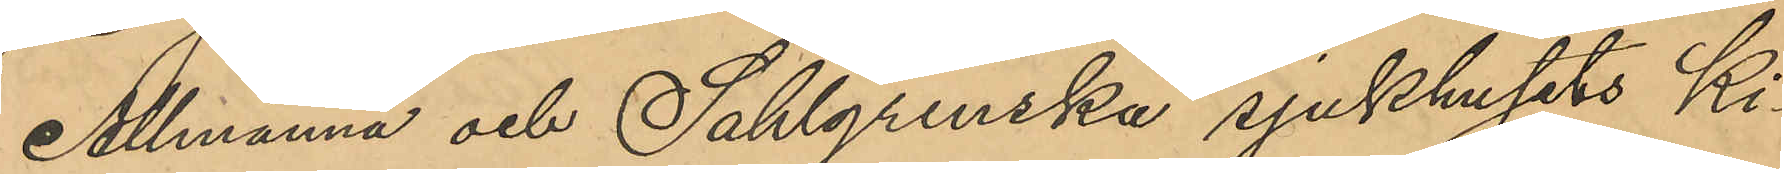Allmänna och Sahlgrenska sjukhusets Ki¬
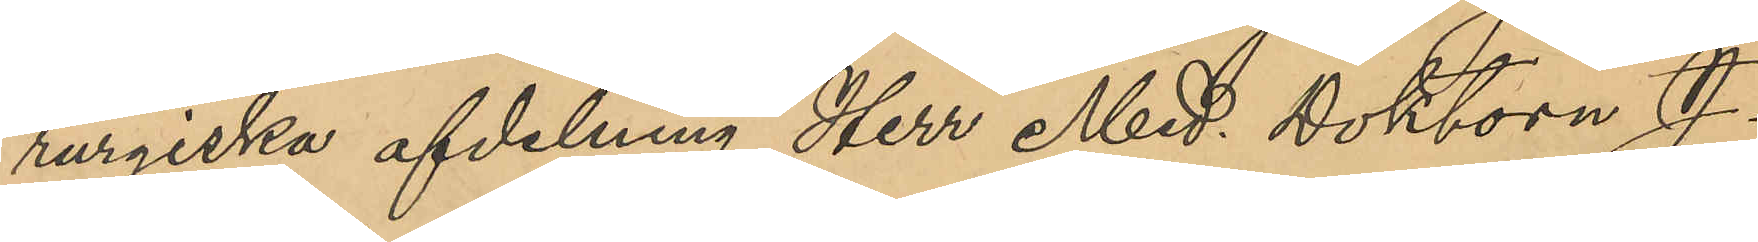rurgiska afdelning Herr Med. Doktorn J.
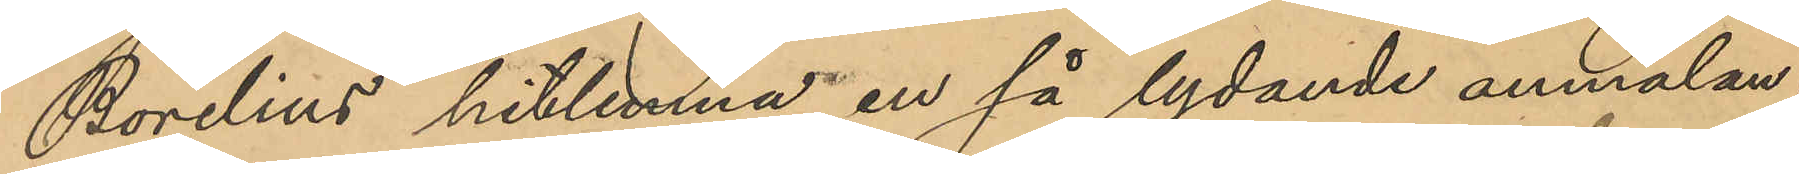Borelius hitlemna en så lydande anmälan:
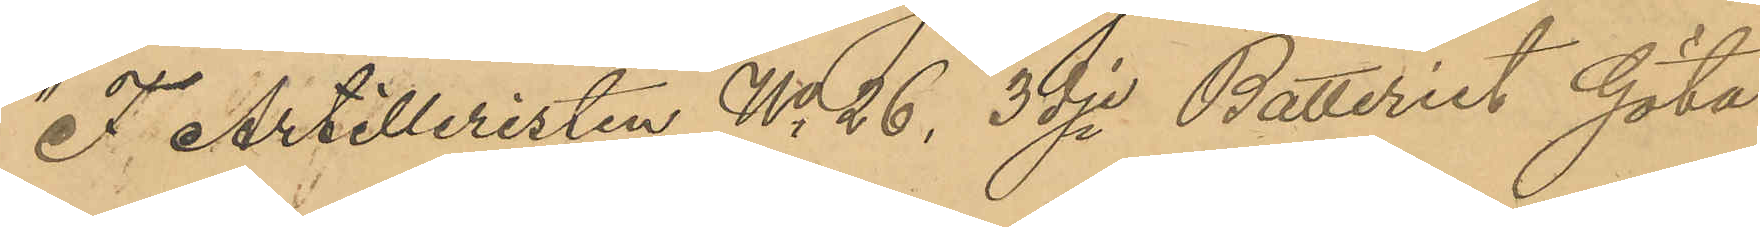"F Artilleristen No 26, 3dje Batteriet Göta
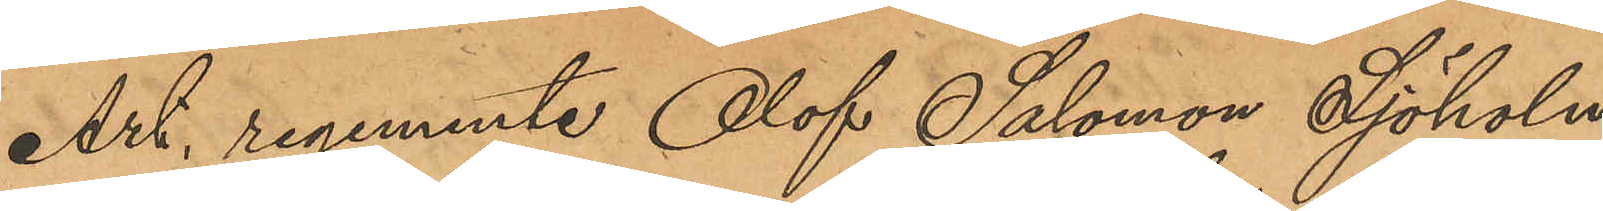Art. regemente Olof Salomon Sjöholm
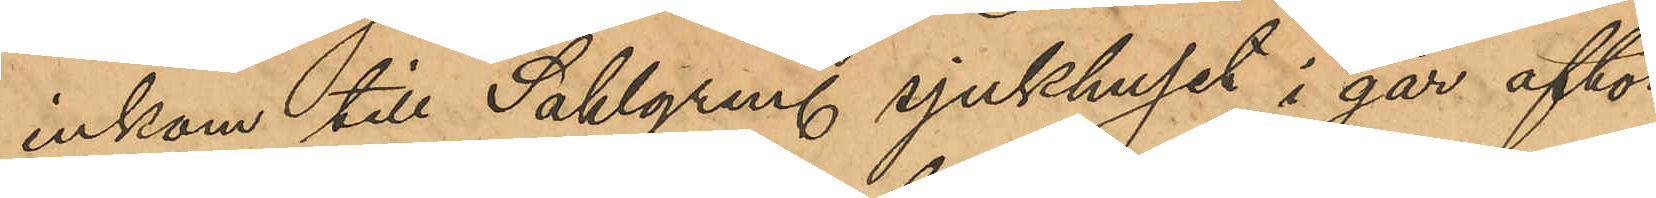inkom till Sahlgren. sjukhuset i går afton
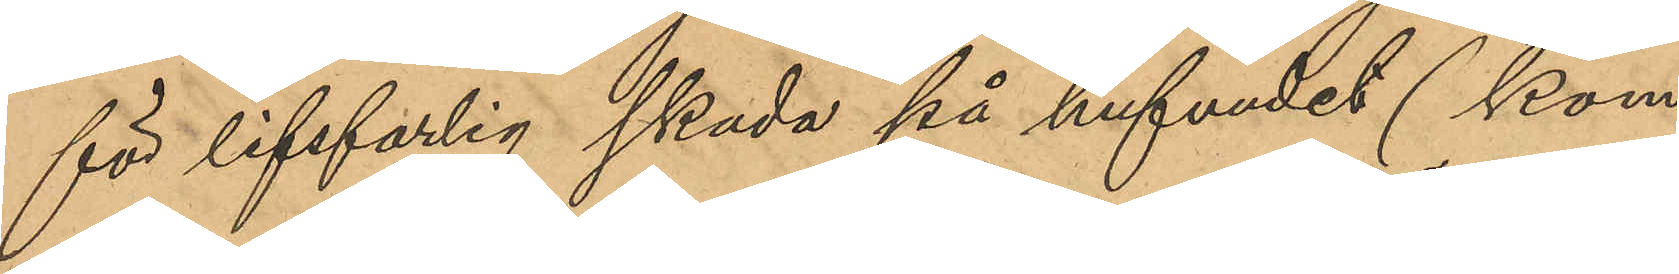för lifsfarlig skada på hufvudet (Kom¬
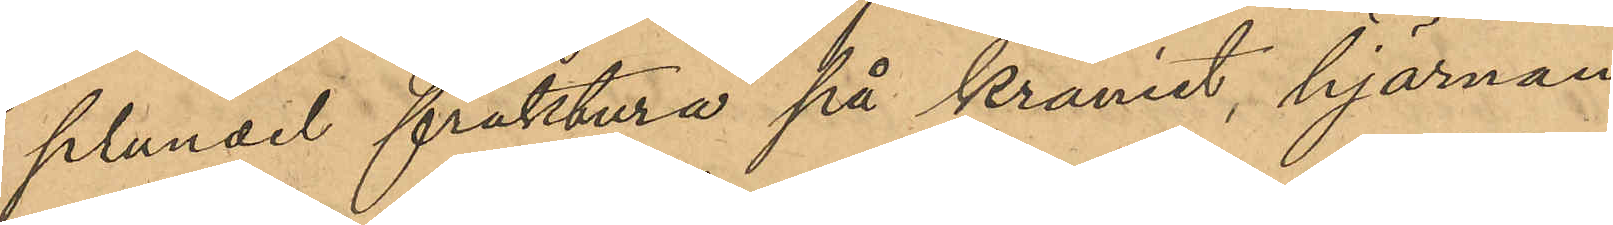plundel fraktura på kraniet, hjärnan
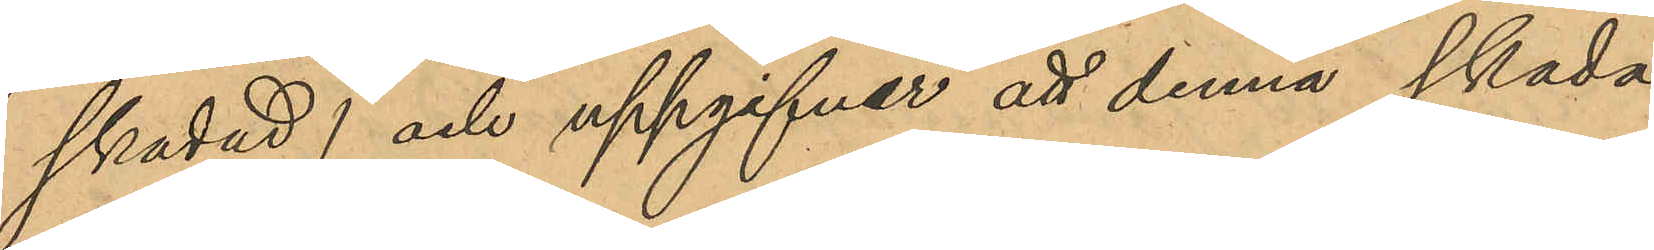skadad) och uppgifver att denna skada
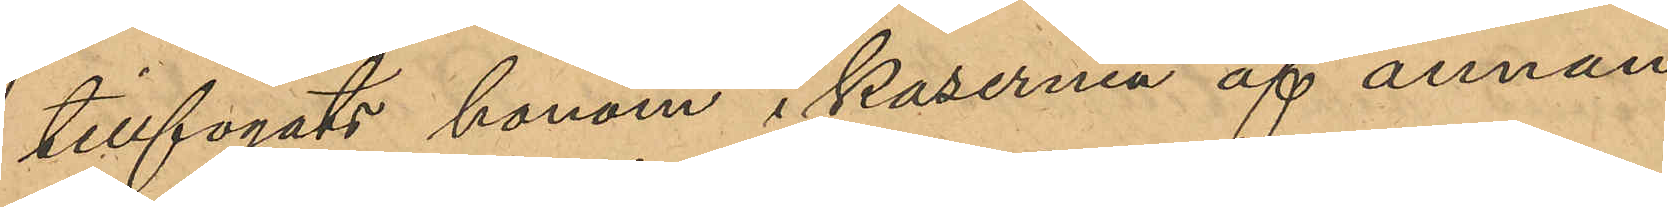tillfogats honom i kasernen af annan
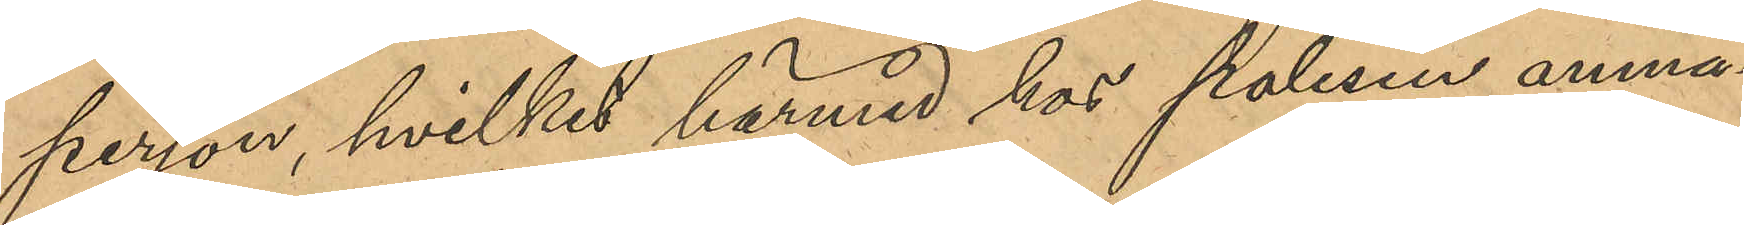person, hvilket härmed hos polisen anmä¬
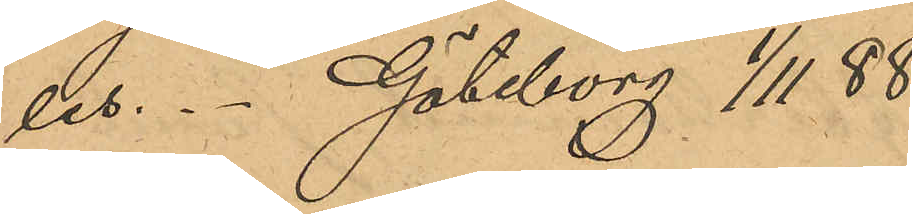les. Göteborg 1/11 88.
